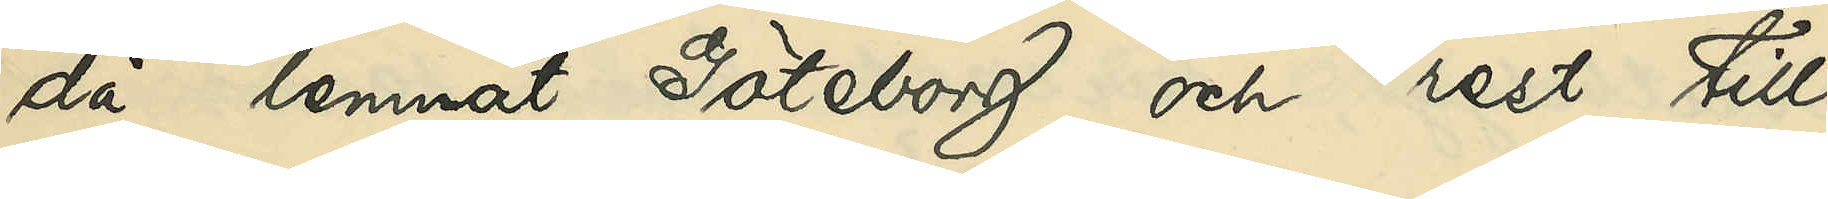då lemnat Göteborg och rest till
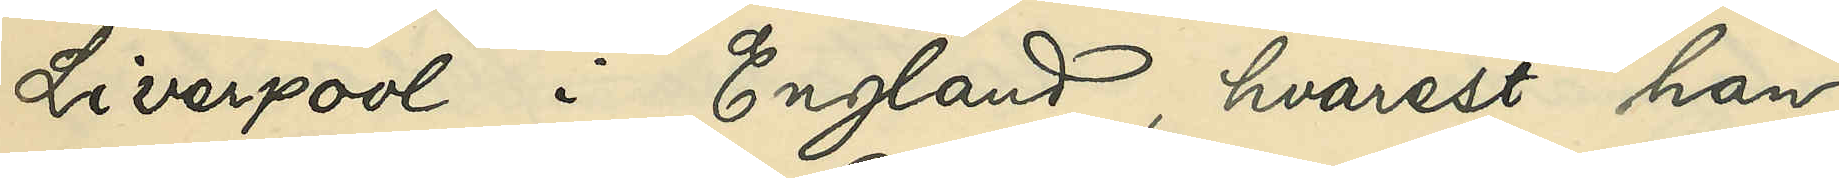Liverpool i England, hvarest han
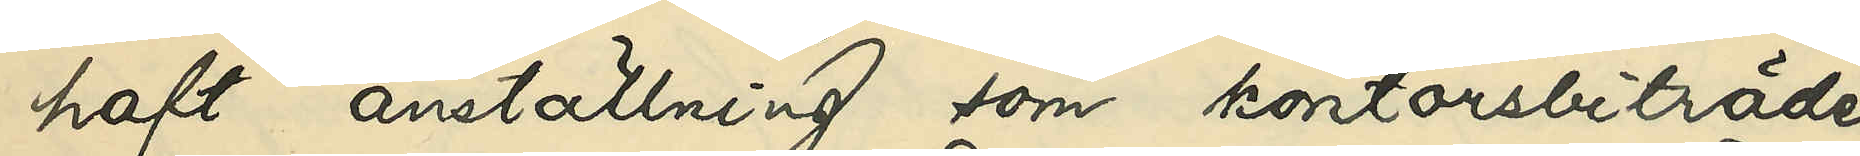haft anställning som kontorsbiträde
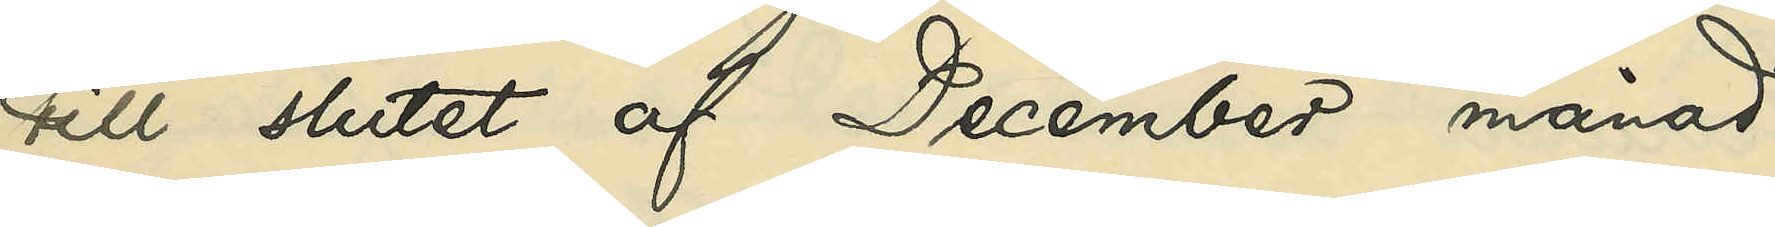till slutet af December månad
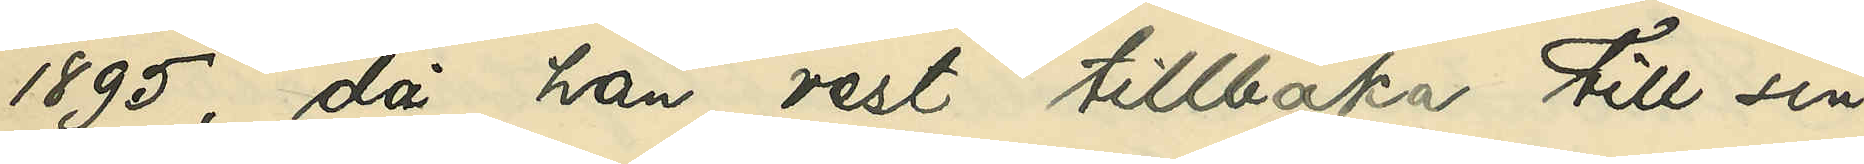1895, då han rest tillbaka till sin
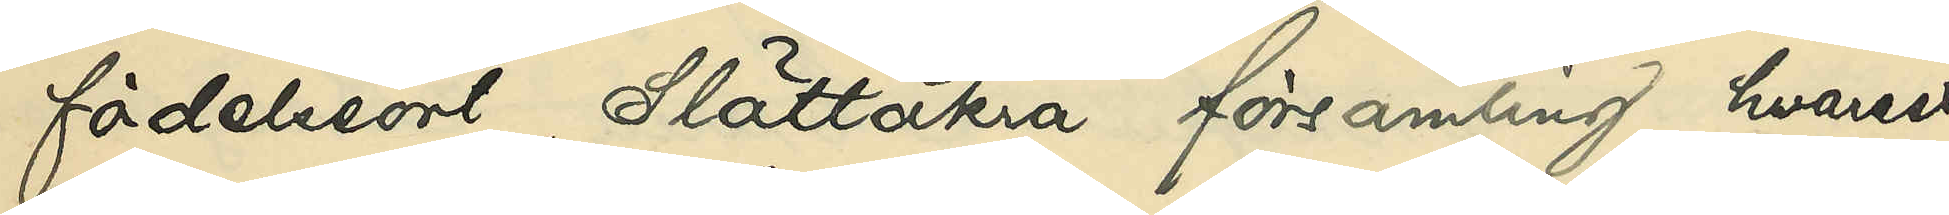födelseort Slättåkra församling, hvarest
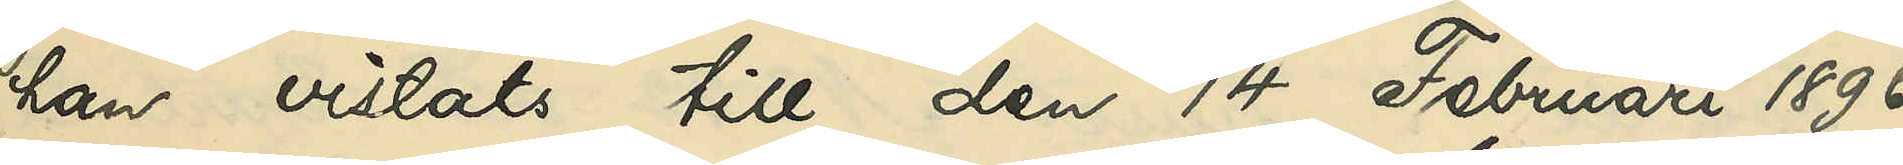han vistats till den 14 Februari 1896,
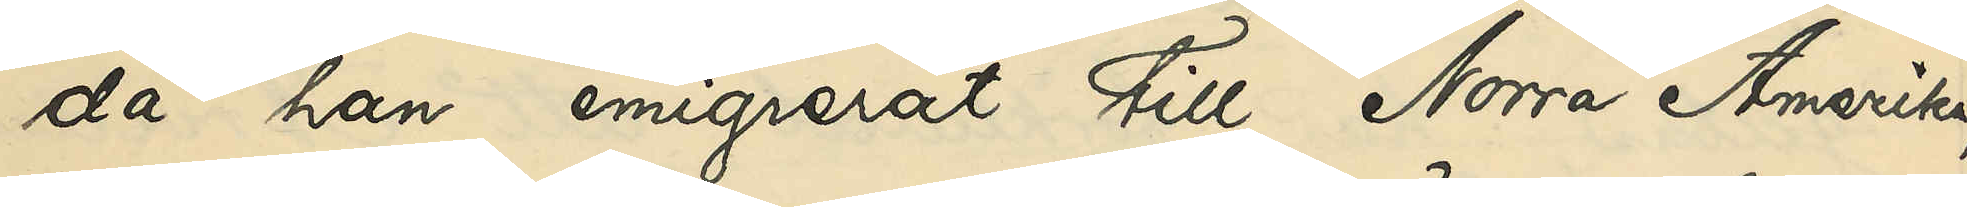då han emigrerat till Norra Amerika;
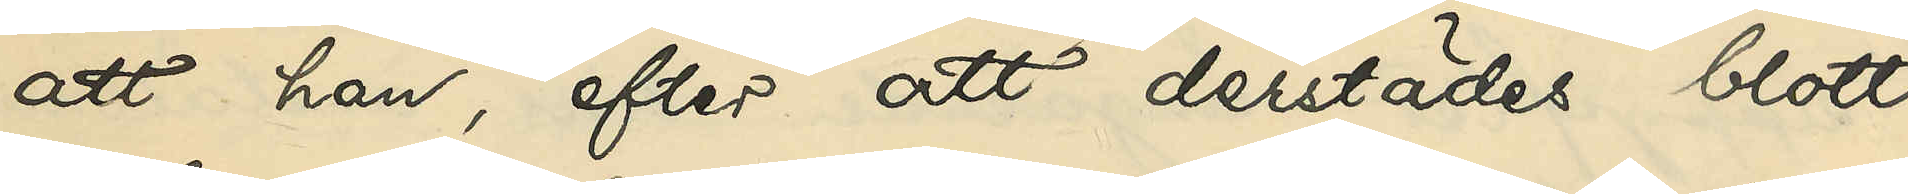att han, efter att derstädes blott
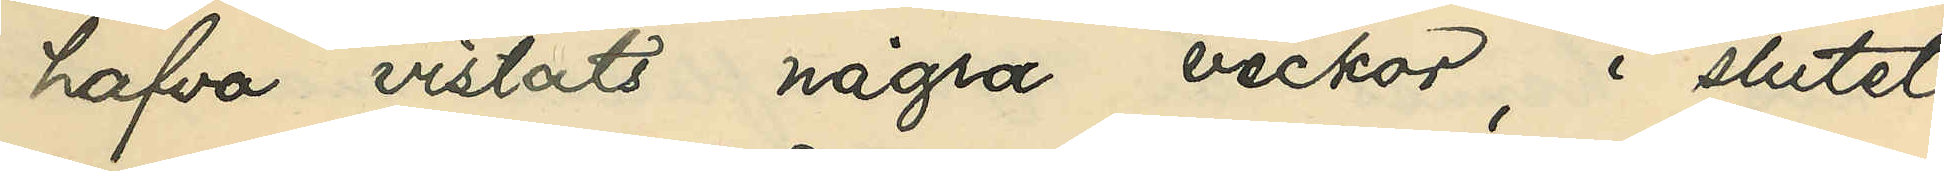hafva vistats några veckor i slutet
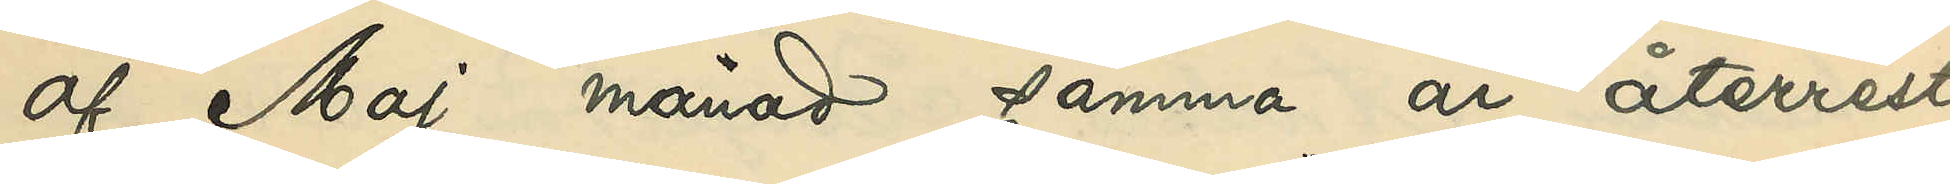af Maj månad samma år återrest
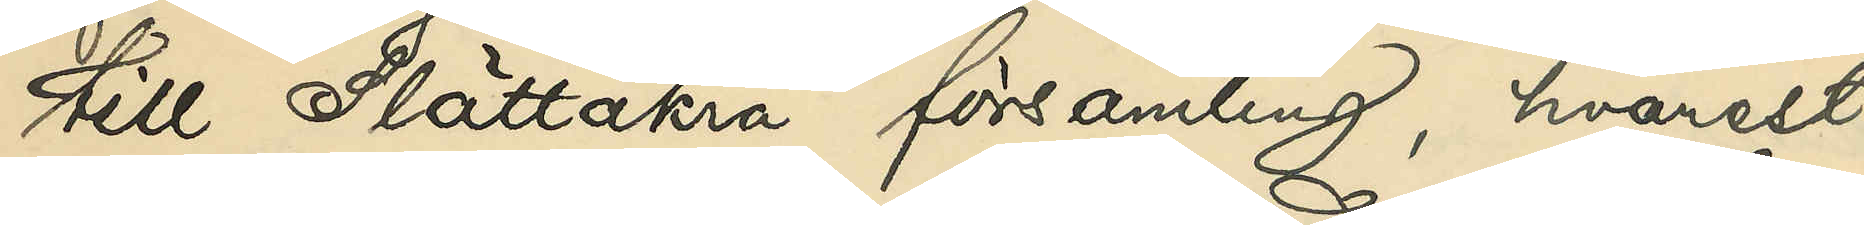till Slättåkra församling, hvarest
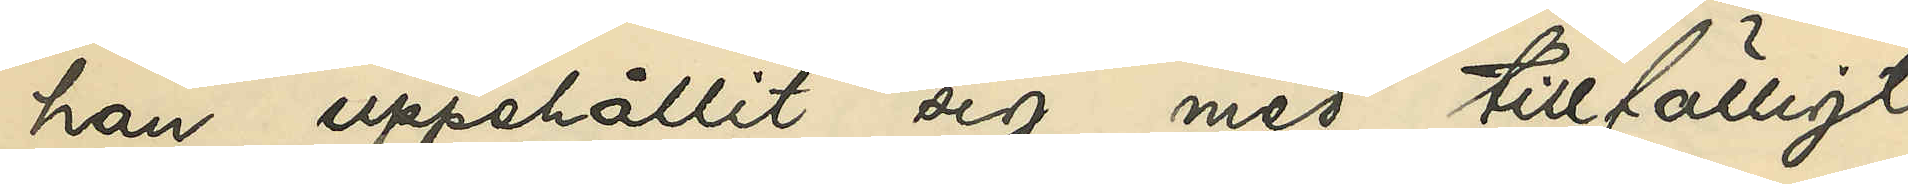han uppehållit sig med tillfälligt
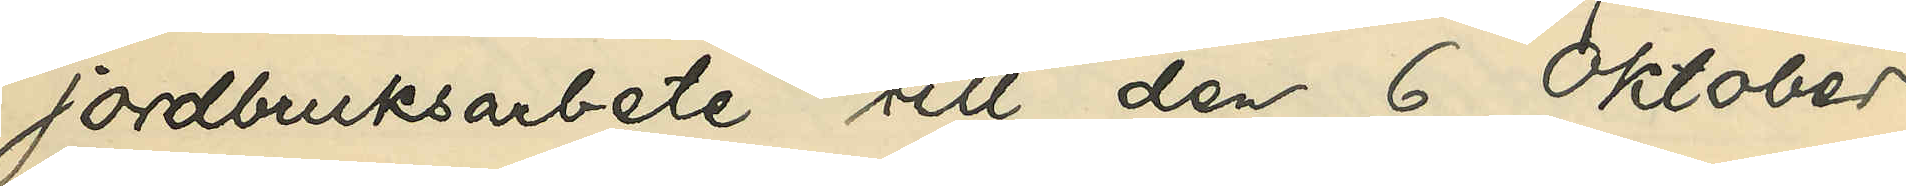jordbruksarbete till den 6 Oktober
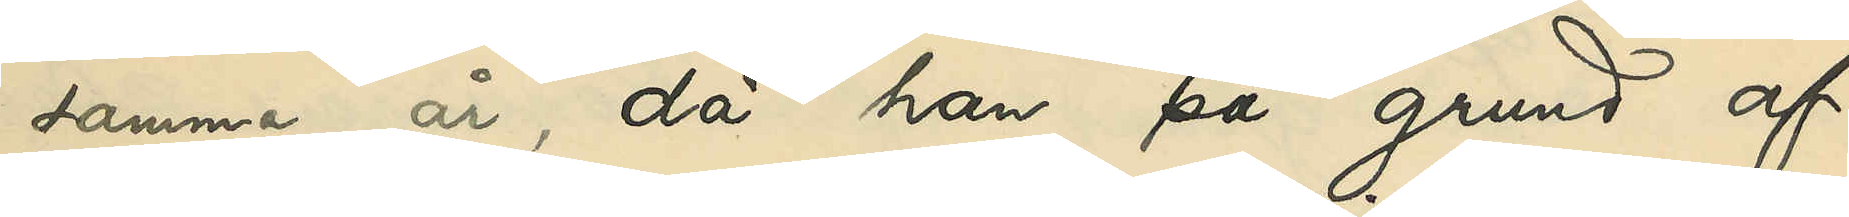samma år, då han på grund af
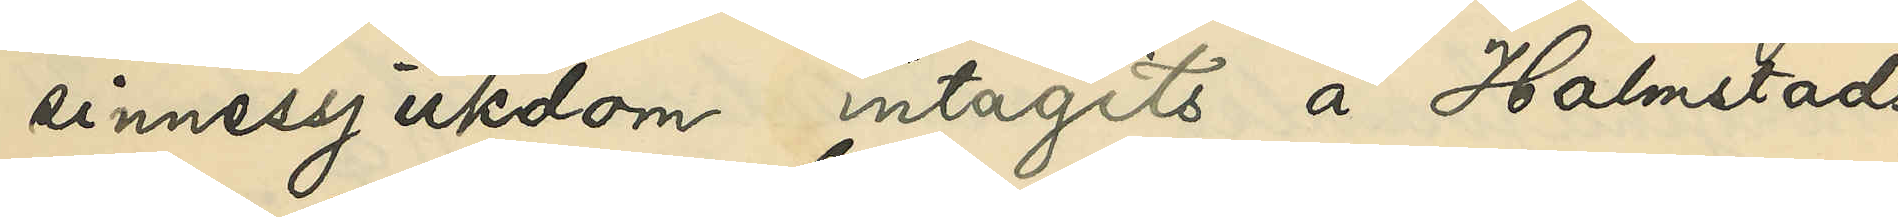sinnessjukdom intagits å Halmstads
